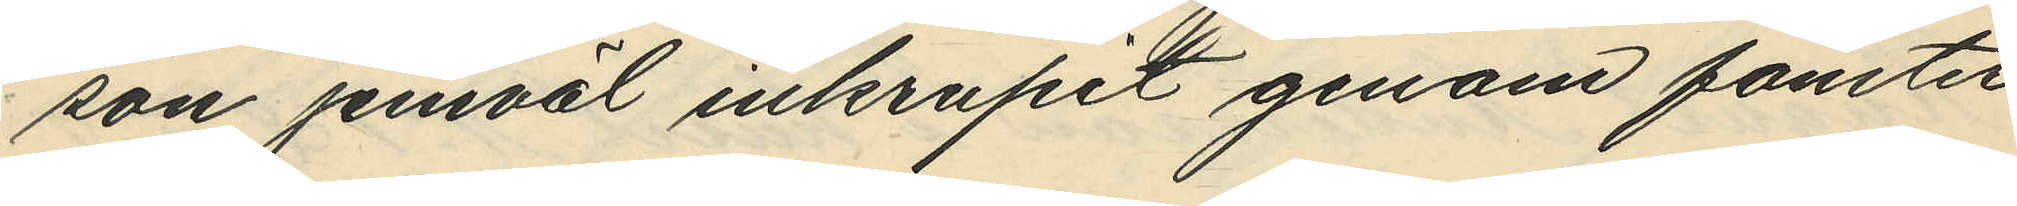son jemväl inkrupit genom fönster¬
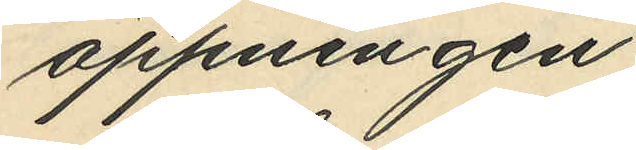öppningen.
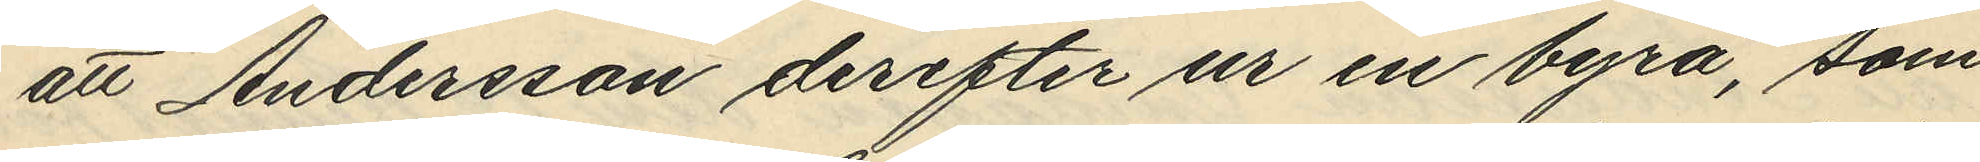att Andersson derefter ur en byrå, som
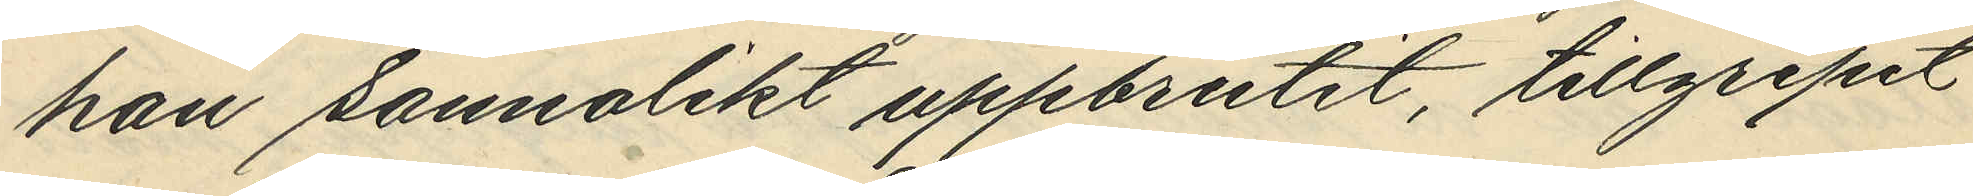han sannolikt uppbrutit, tillgripit
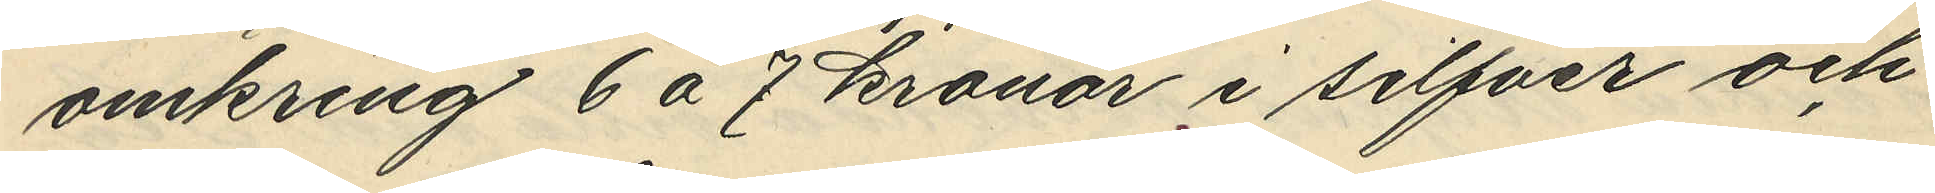omkring 6 á 7 kronor i silfver och
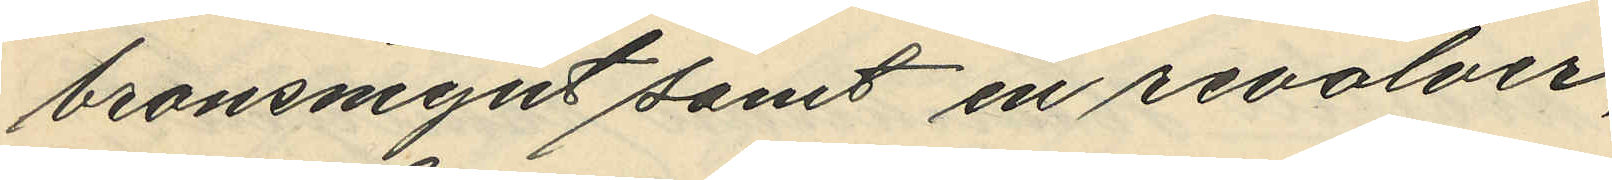bronsmynt samt en revolver,
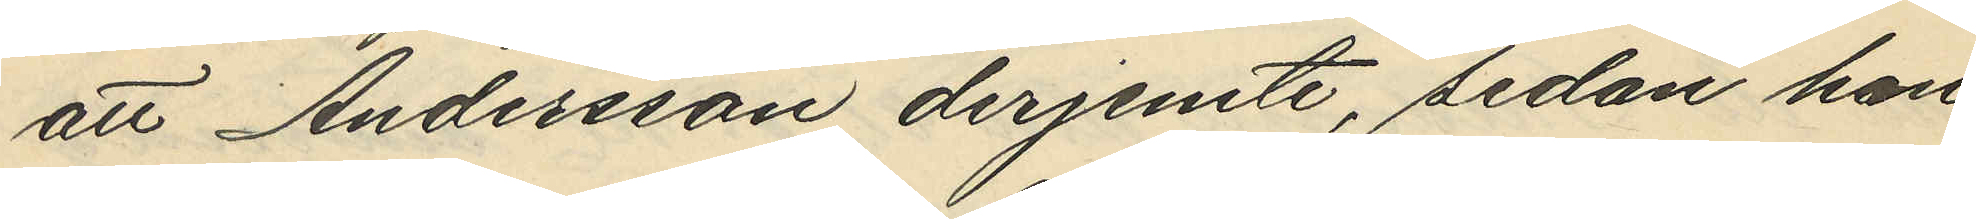att Andersson derjemte, sedan han
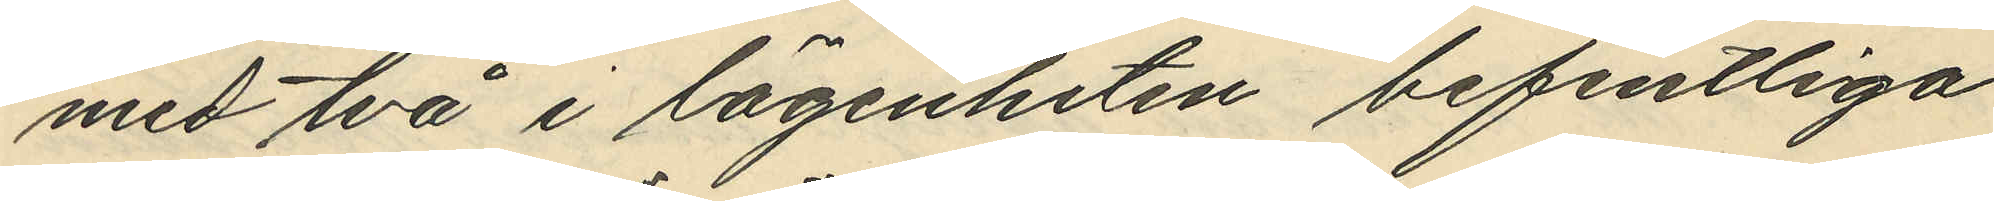med två i lägenheten befintliga
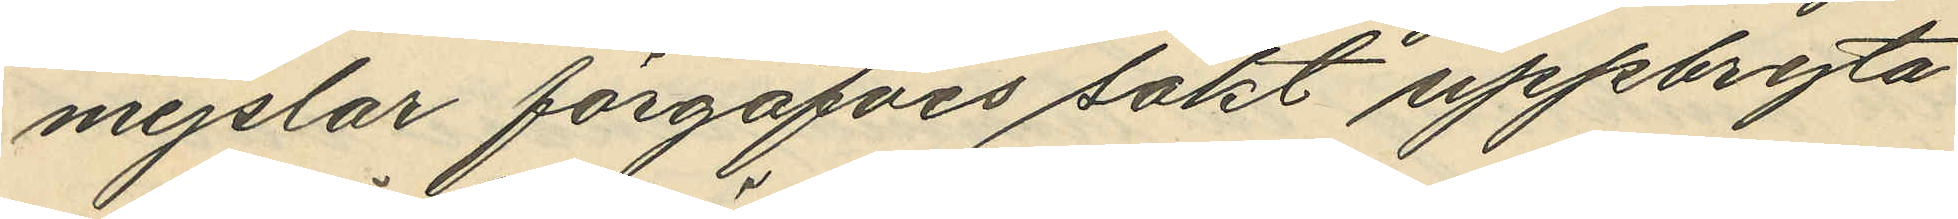mejslar förgäfves sökt uppbryta
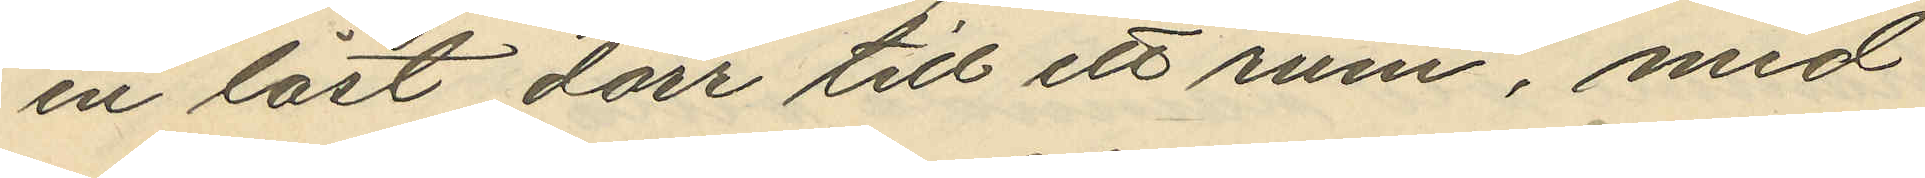en låst dörr till ett rum, med
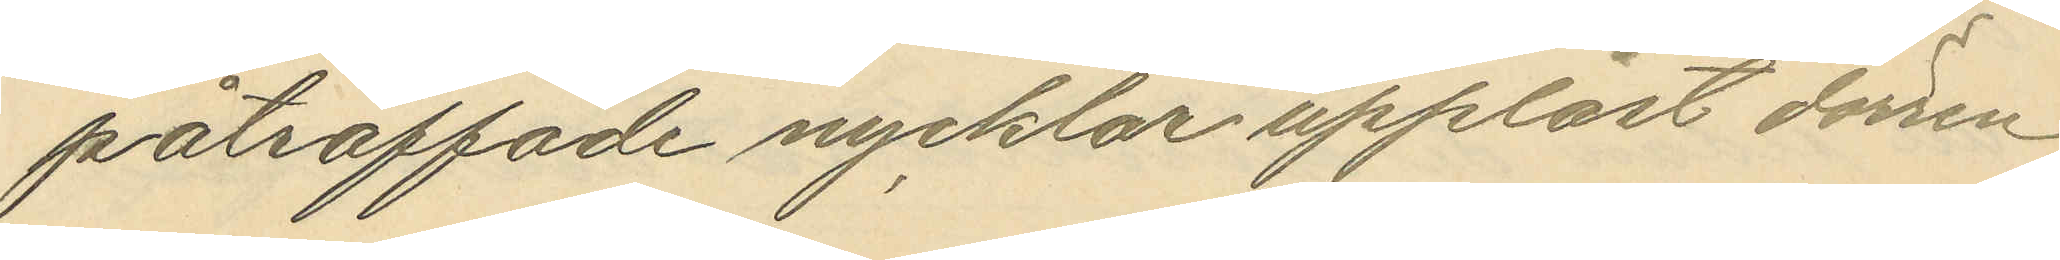påträffade nycklar upplåst dörren
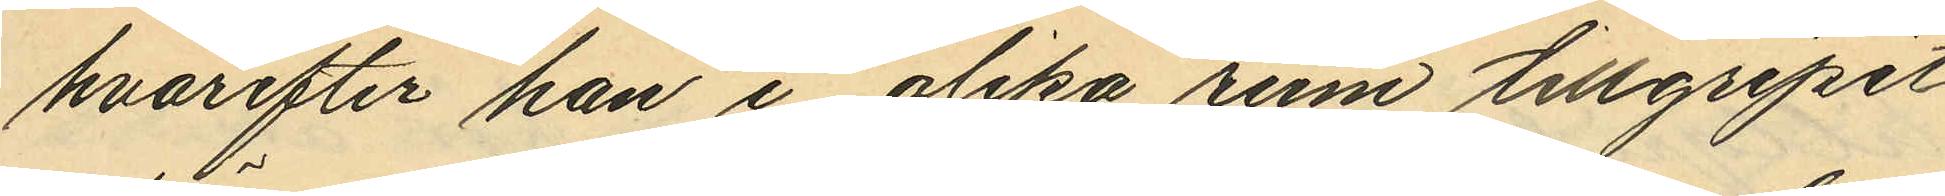hvarefter han i olika rum tillgripit
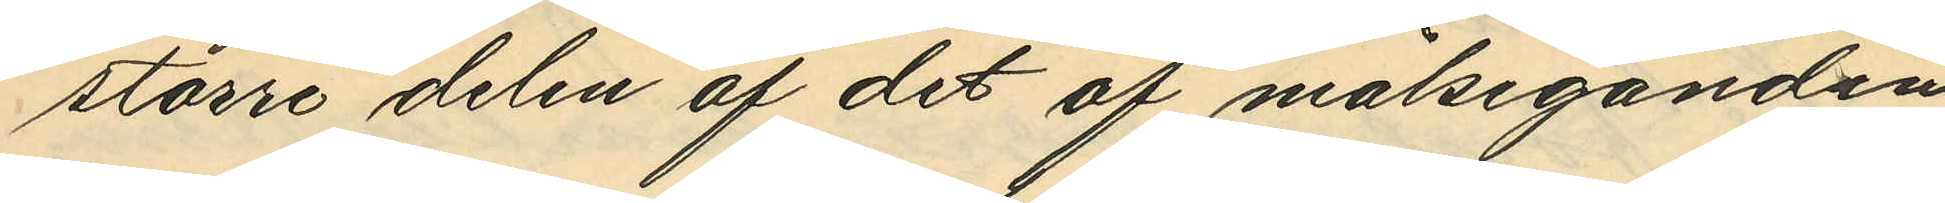större delen af det af målseganden
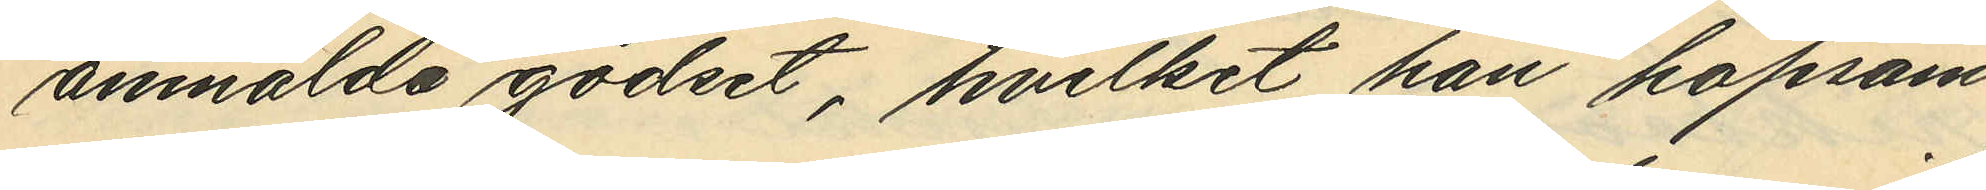anmälda godset, hvilket han hopsam¬
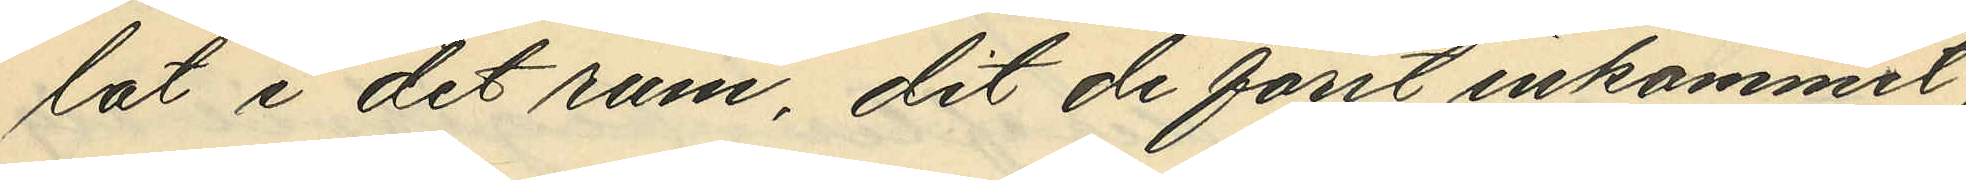lat i det rum, dit de först inkommit;
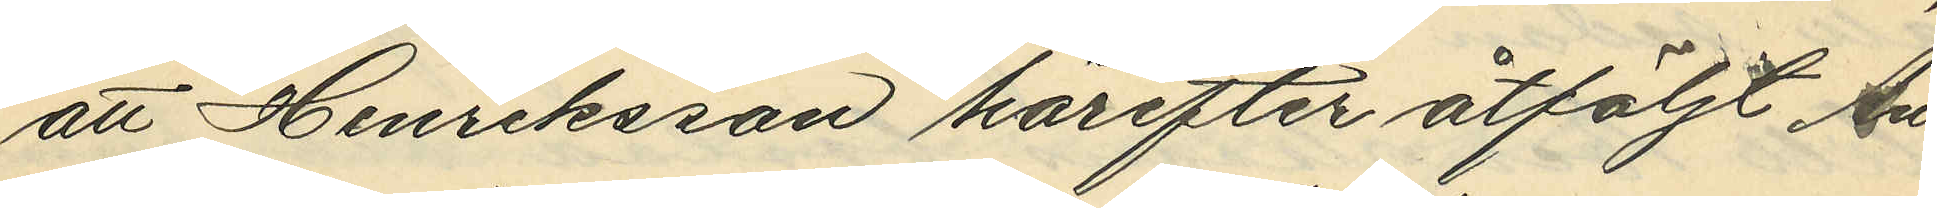att Henriksson härefter åtföljt An¬
